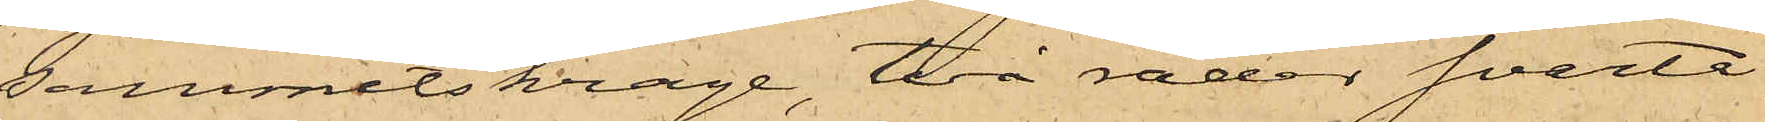sammetskrage, två rader svarta
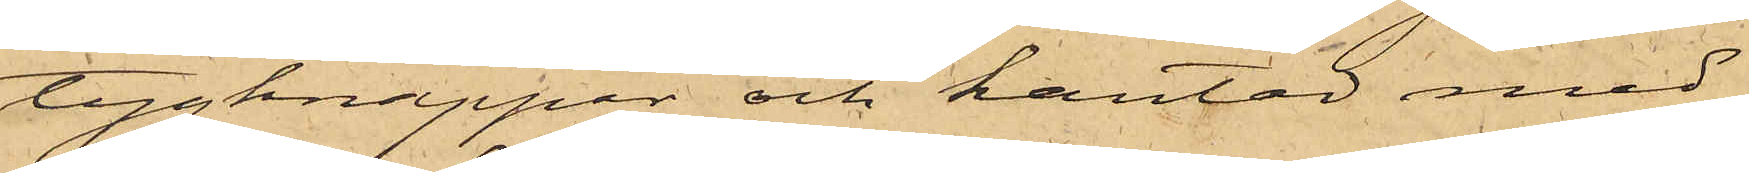tygknappar och kantad med
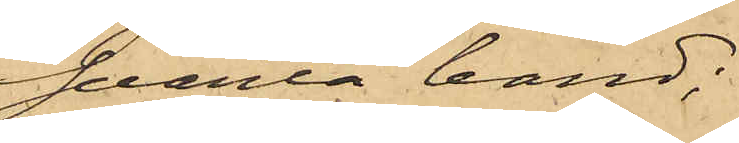svarta band;
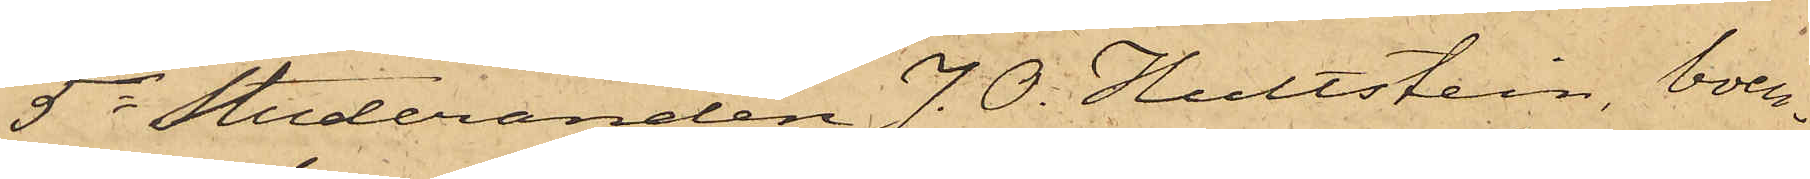5o Studeranden J. O. Hultstein, boen¬
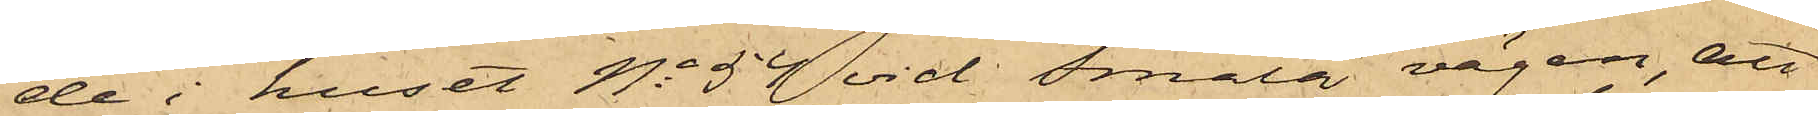de i huset No 54 vid Smala vägen, att
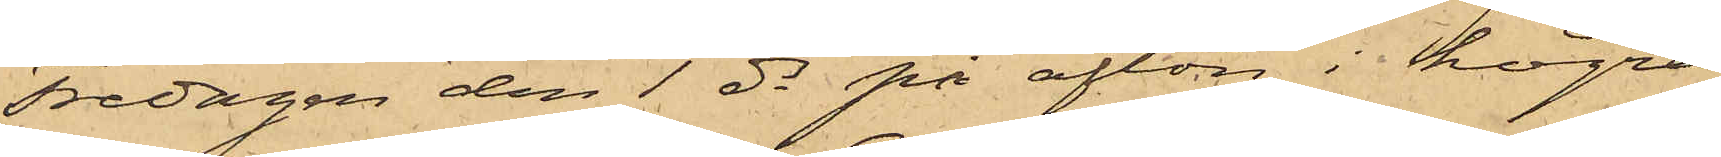Fredagen den 1 ds på afton i högra
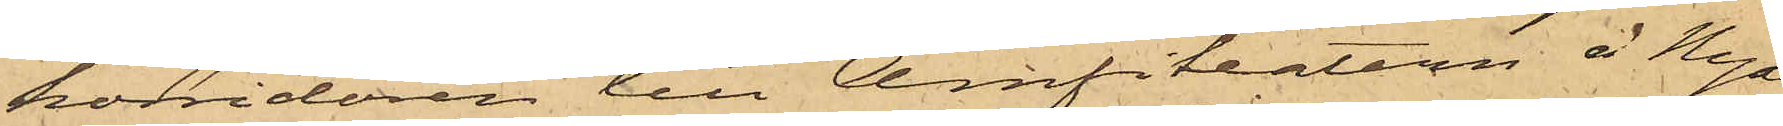korridoren till Amfiteatern å Nya
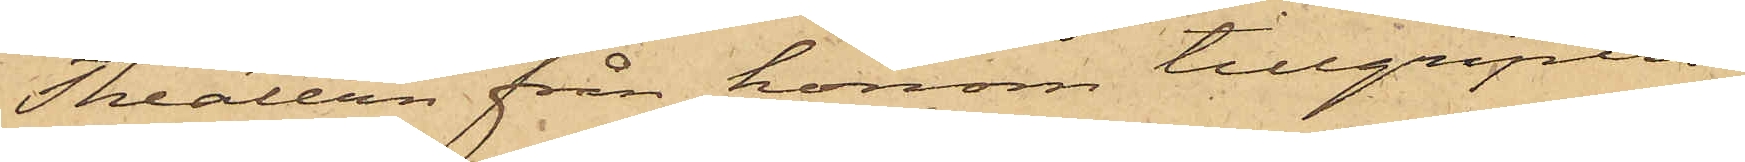Theatern från honom tillgripits
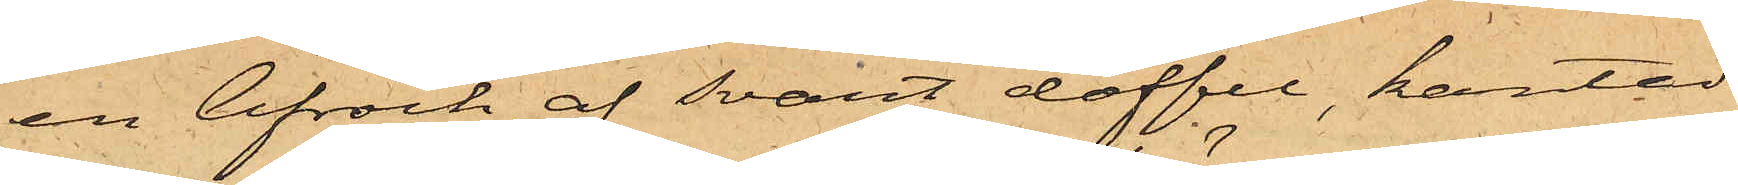en lifrock af svart doffel, kantad
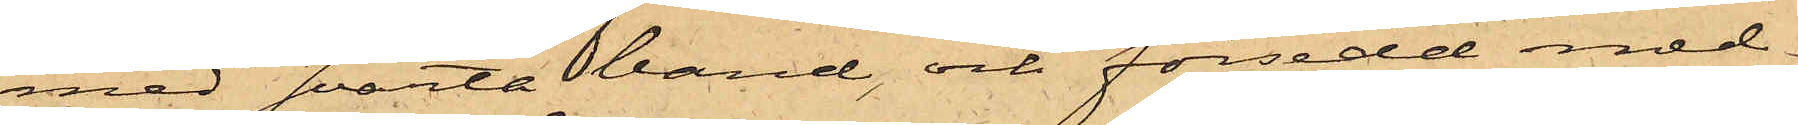med svarta band, och försedd med
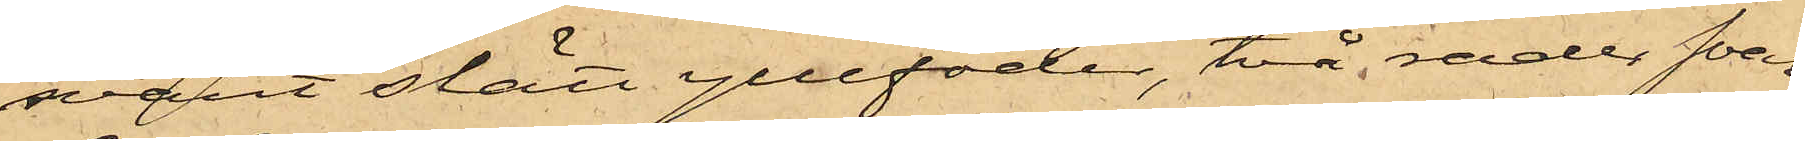svart slätt yllefoder, två rader svar¬
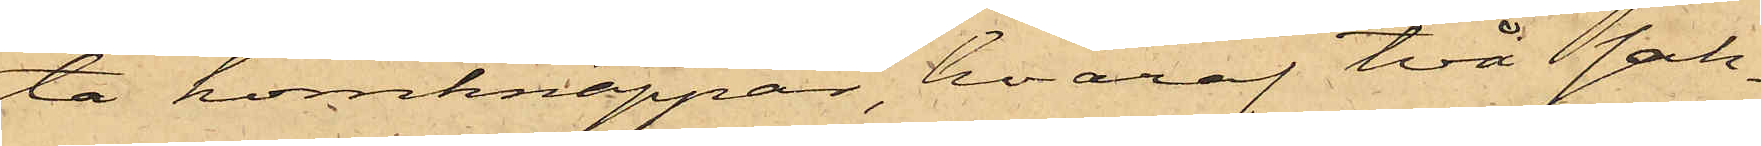ta hornknappar, hvaraf två sak¬
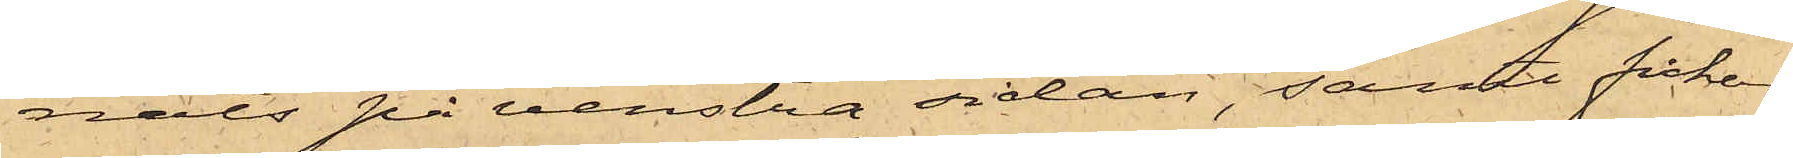nats på venstra sidan, samt fickor
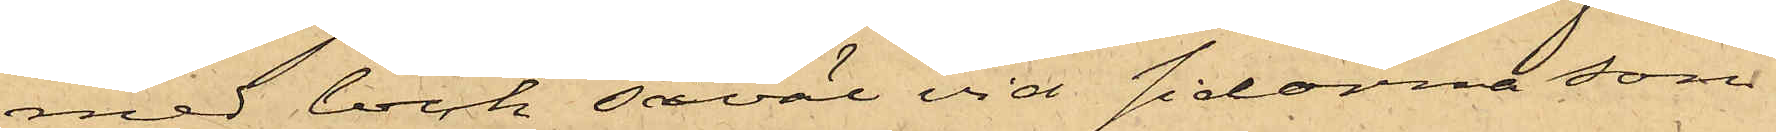med lock såväl vid sidorna som
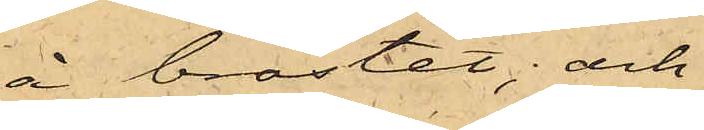å bröstet; och
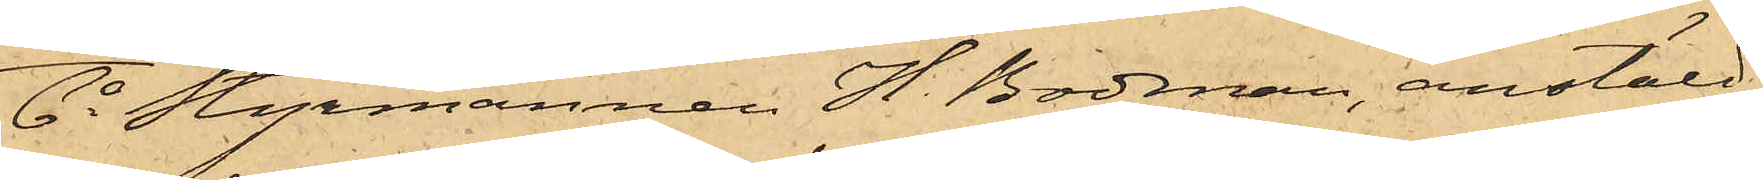6o Styrmannen H. Bodman, anstäld
